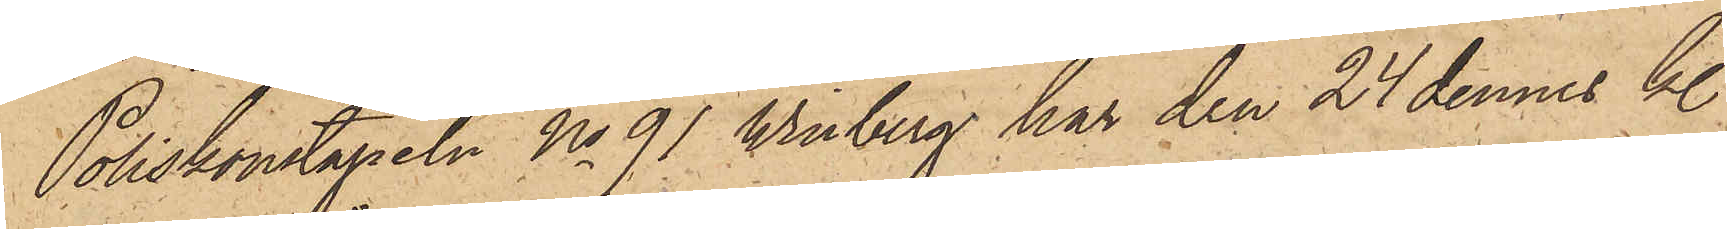Poliskonstapeln No 91 Winberg har den 24 dennes kl.
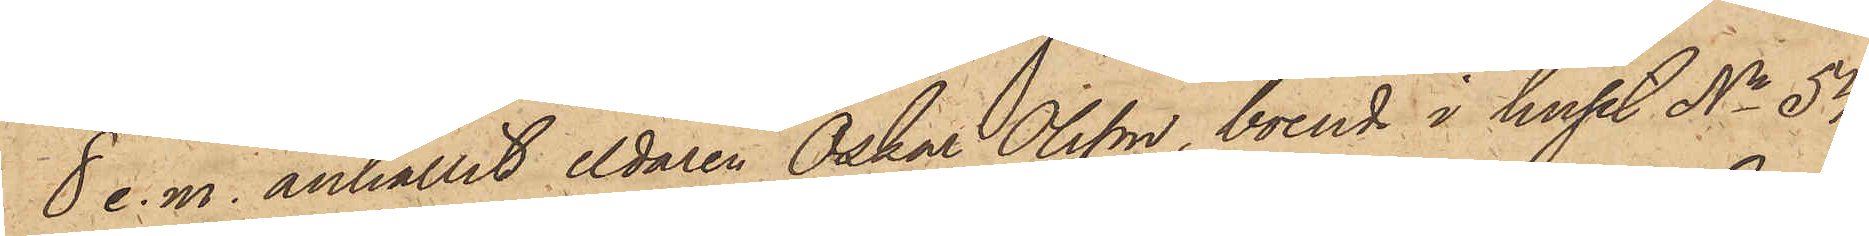8 e. m. anhållit eldaren Oskar Olsson, boende i huset No 54
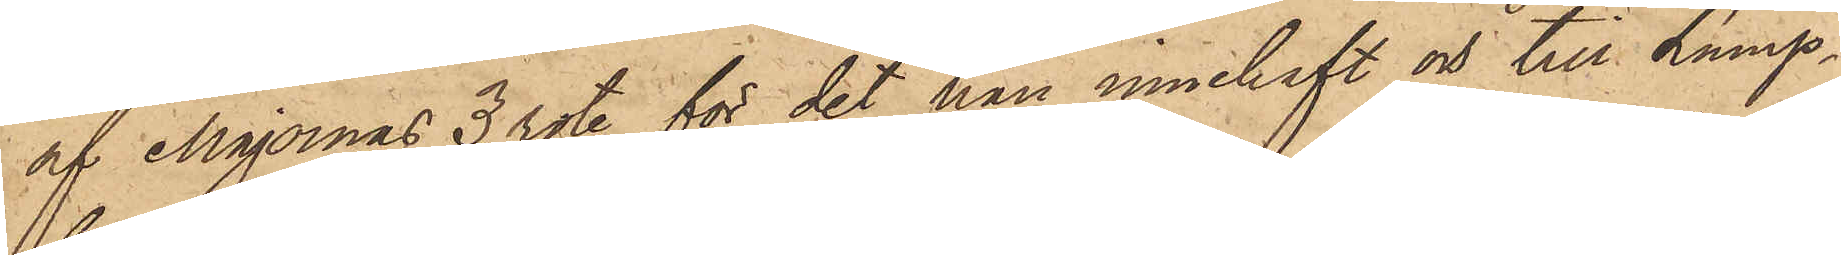af Majornas 3 rote för det han innehaft och till Lump¬
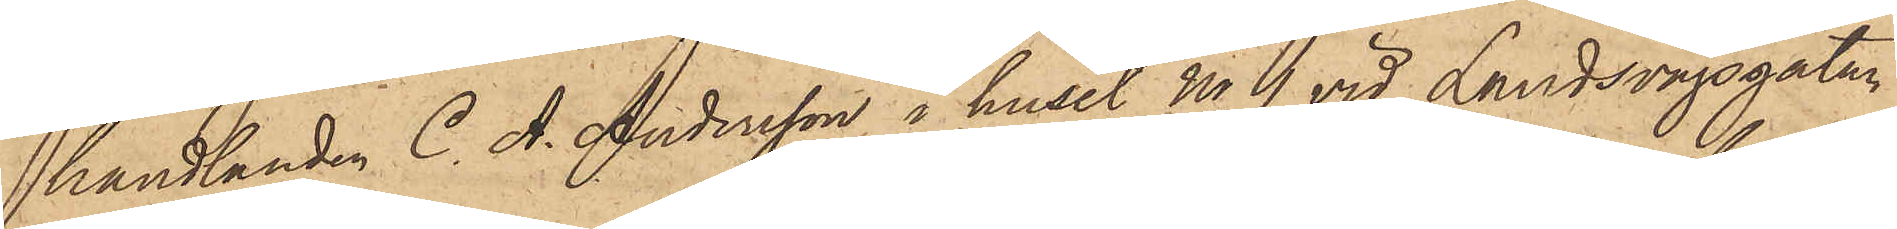handlanden C. A. Andersson i huset No 1 vid Landsvägsgatan,
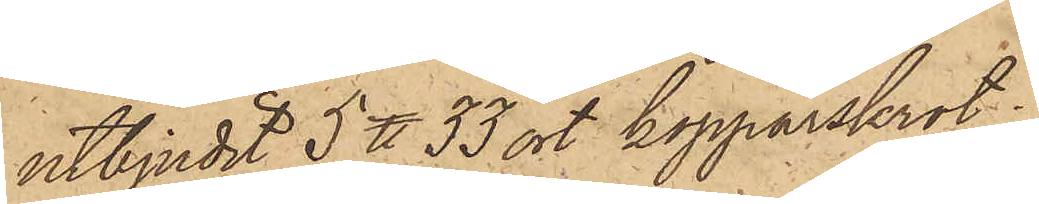utbjudit 5 ℔ 33 ort kopparskrot,
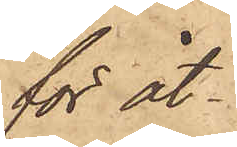för åt¬
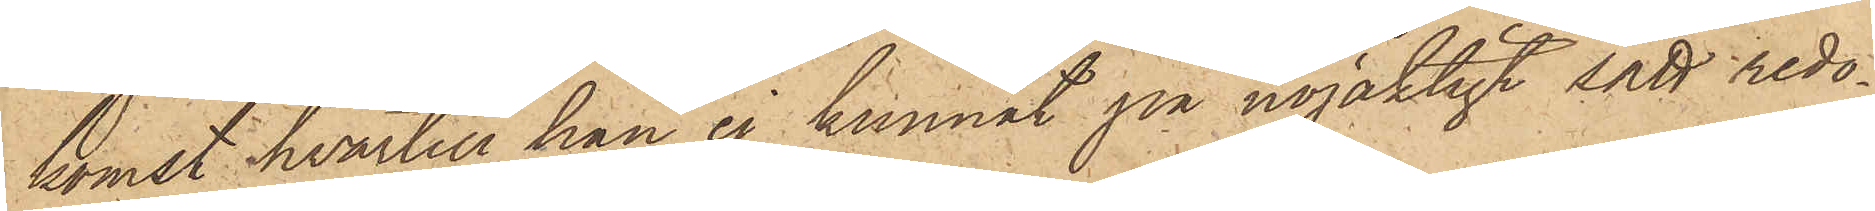komst hvartill han ej kunnat på nöjaktigt sätt redo¬
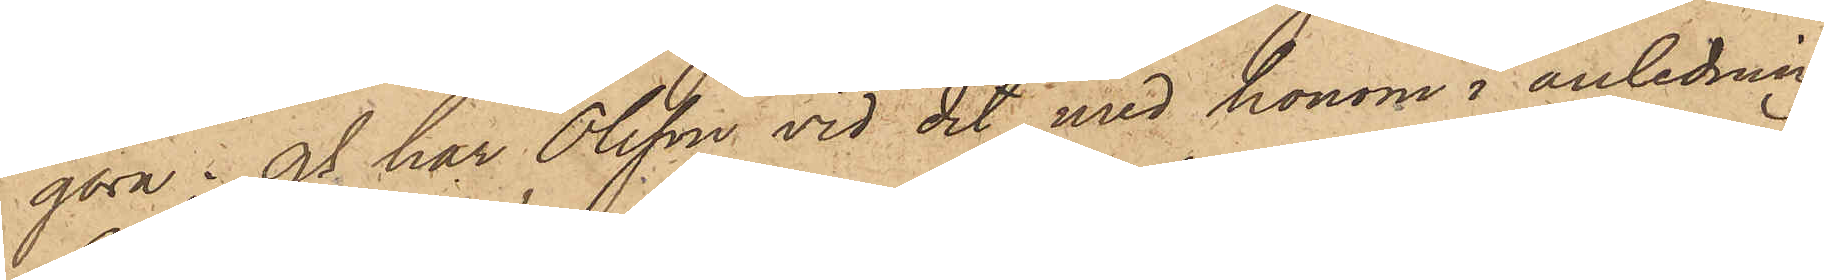göra; och har Olsson vid det med honom i anledning
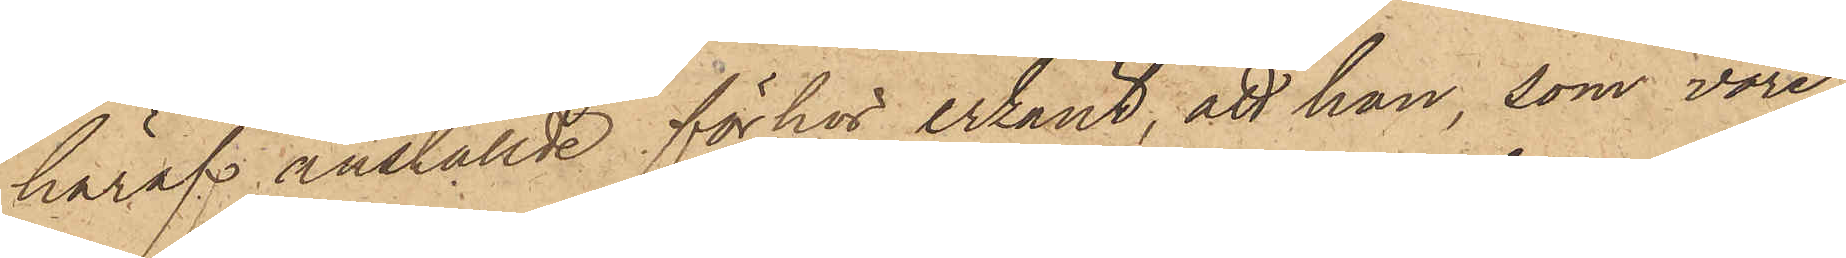häraf anställde förhör erkänt, att han, som vore
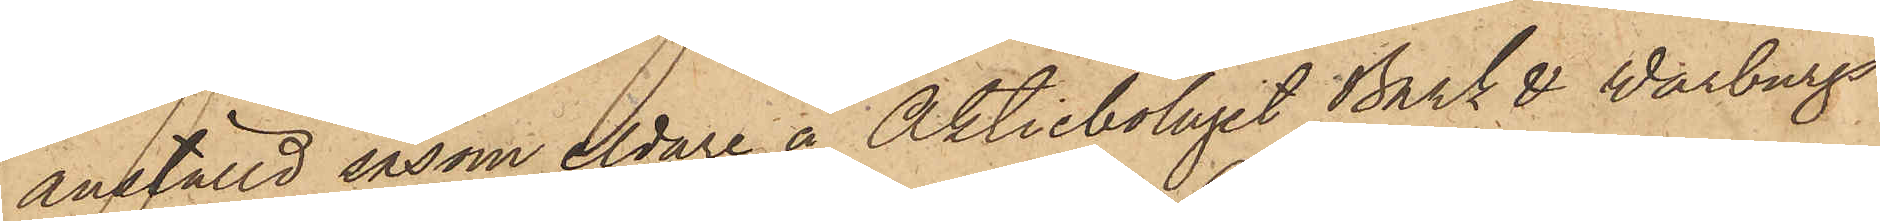anställd såsom eldare å Aktiebolaget Bark & Warburgs
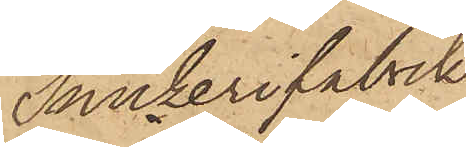Snickerifabrik,
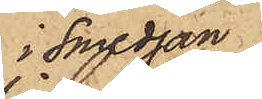i smedjan
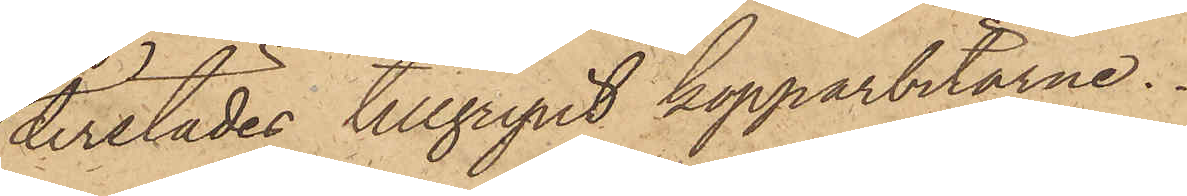derstädes tillgripit kopparbitarne.
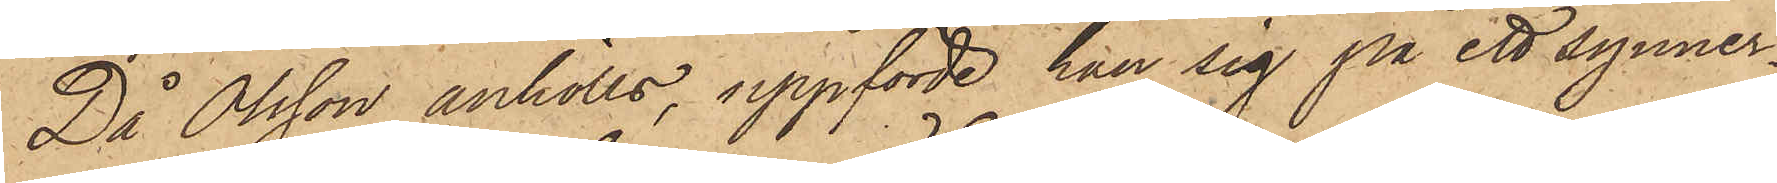Då Olsson anhölls, uppförde han sig på ett synner¬
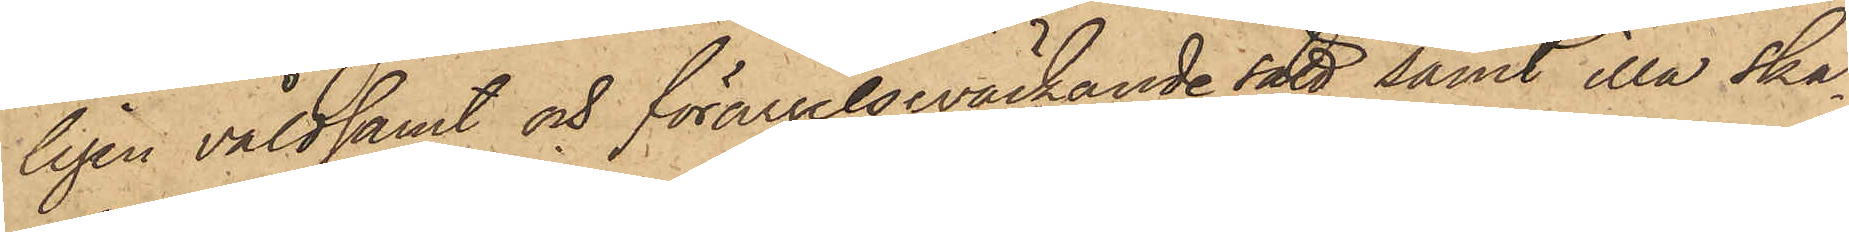ligen våldsamt och förargelseväckande sätt samt illa ska¬
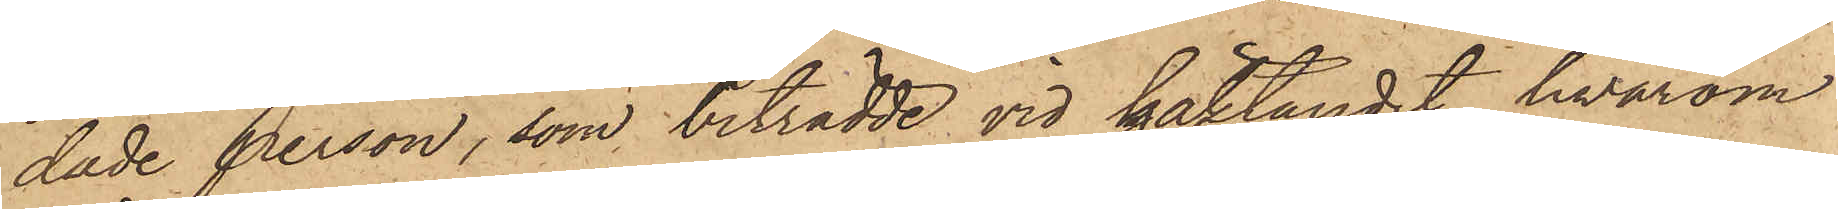dade person, som biträdde vid häktandet, hvarom
